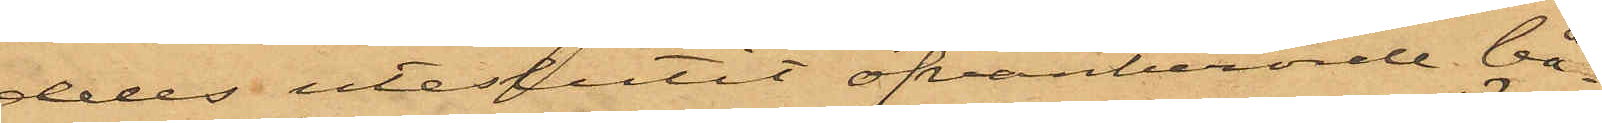deles uteslutit ofvanberörde bå¬
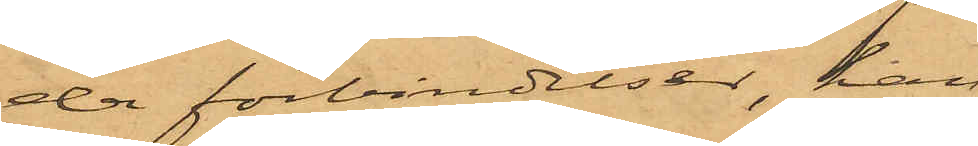da förbindelser, han,
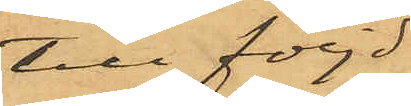till följd
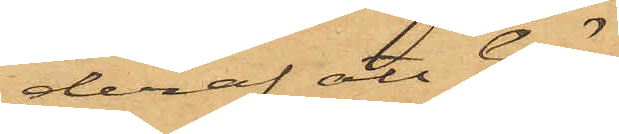deraf att Gö¬
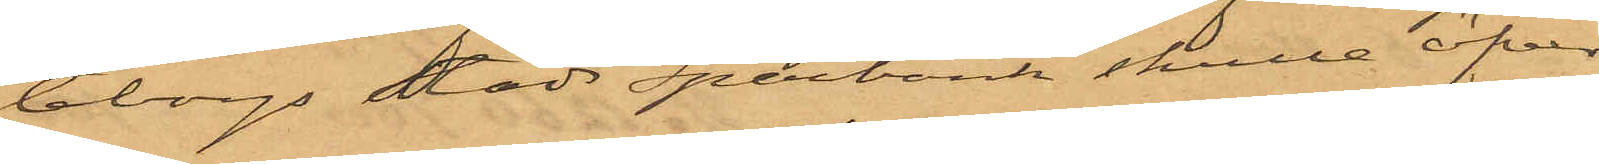teborgs Stads Sparbank skulle öfver¬
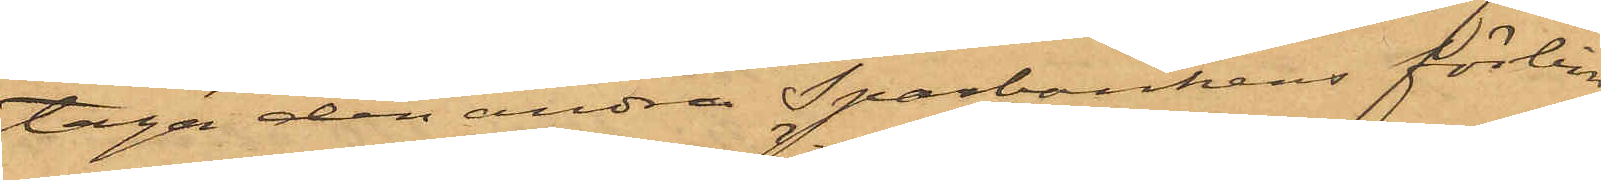taga den andra Sparbankens förbin¬
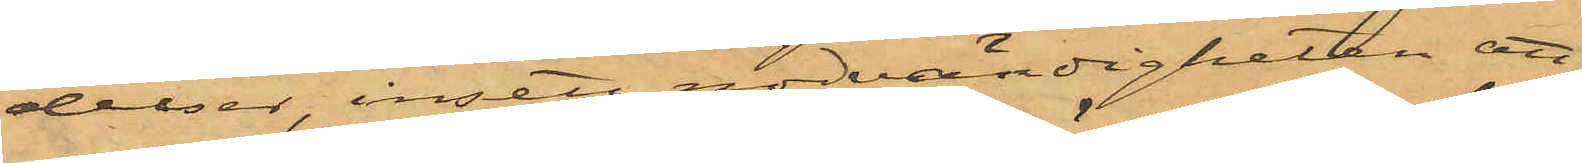delser, insett nödvändigheten att,
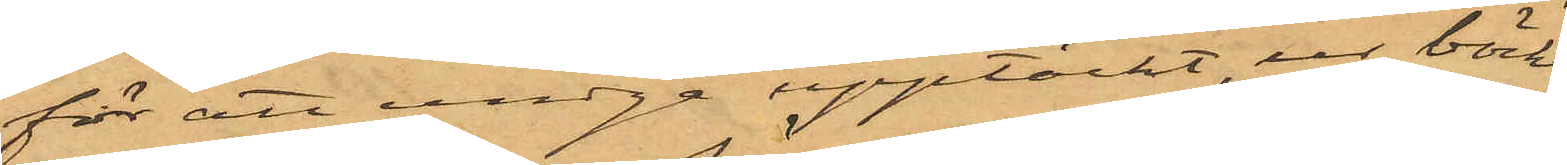för att undgå upptäckt, ur böckerna
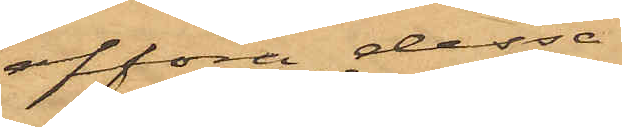afföra dessa
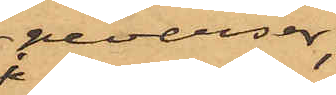reverser; 
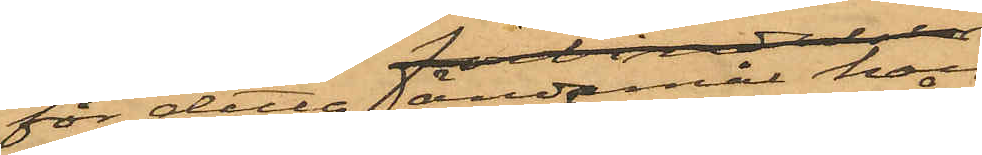att för detta ändamål han,
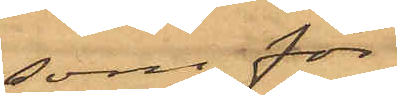som för
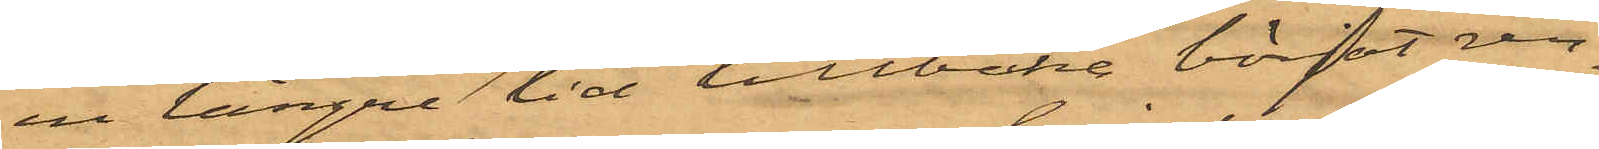en längre tid tillbaka börjat ren¬
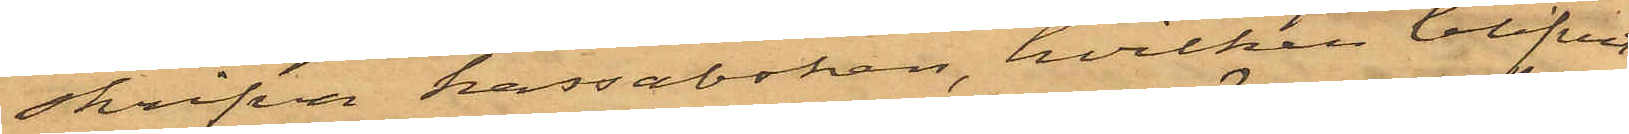skrifva kassaboken, hvilken blifvit
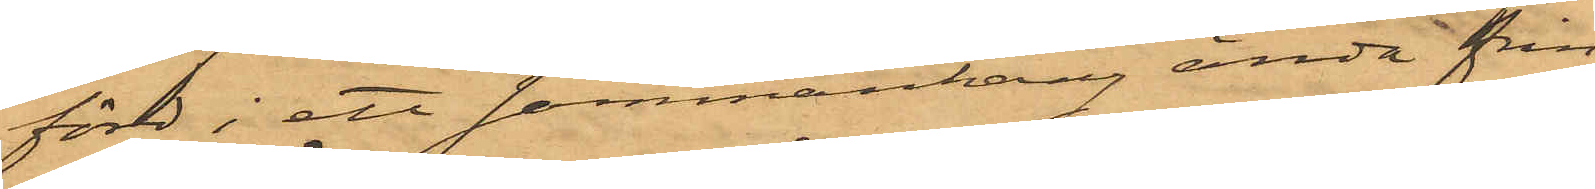förd i ett sammanhang ända från
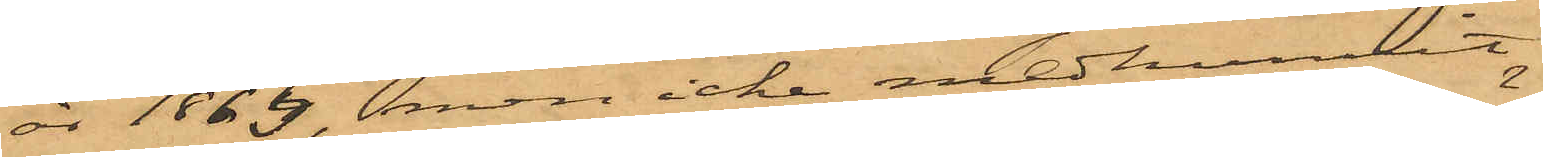år 1863, men icke medhunnit
